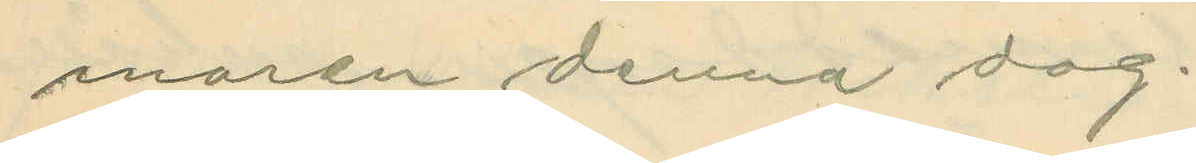maren denna dag.
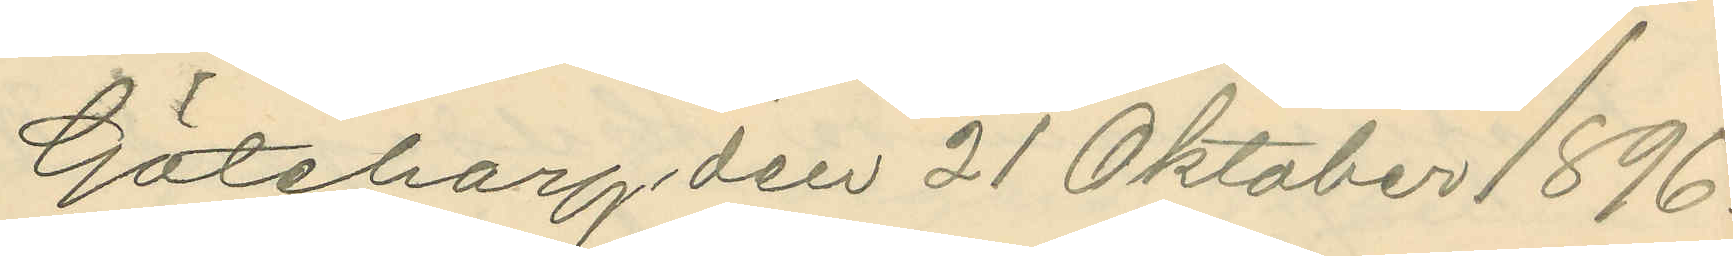Göteborg den 21 Oktober 1896.
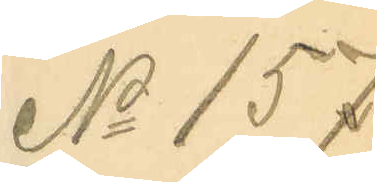No 157.
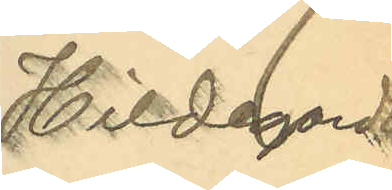Hildegard
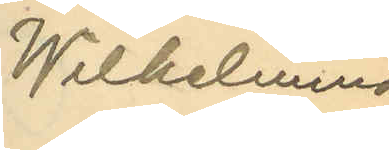Wilhelmina
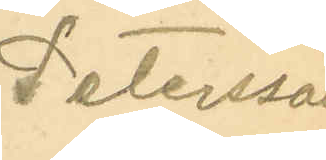Petersson
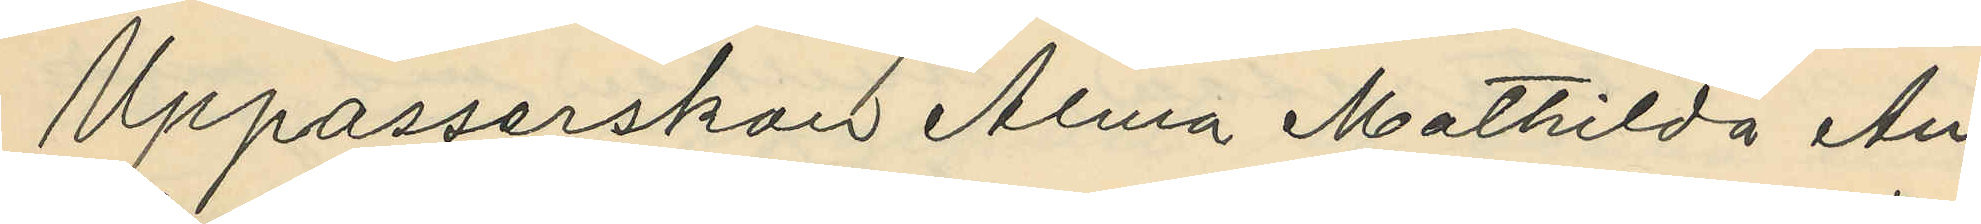Uppasserskan Alma Mathilda An¬
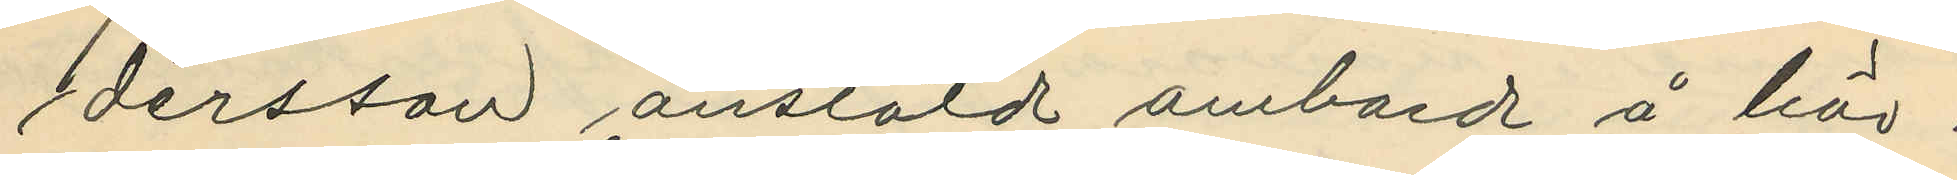dersson anstäld ombord å här i
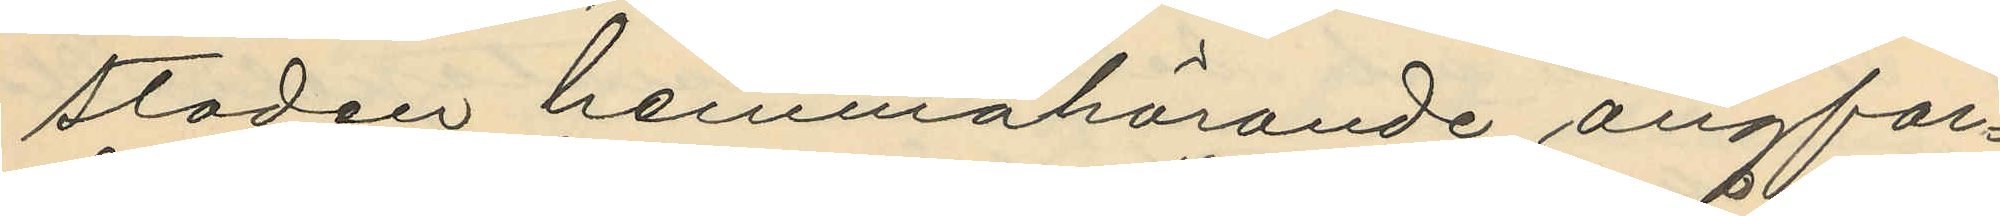staden hemmahörande ångfar¬
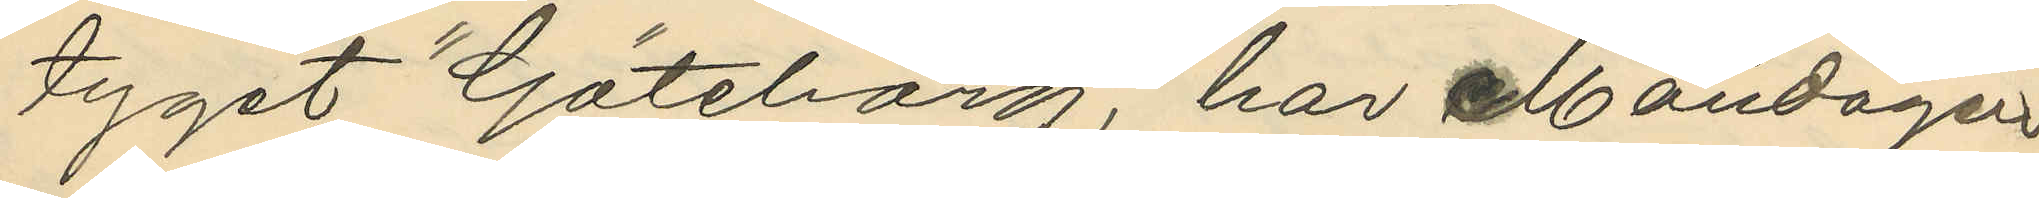tyget "Göteborg," har Måndagen
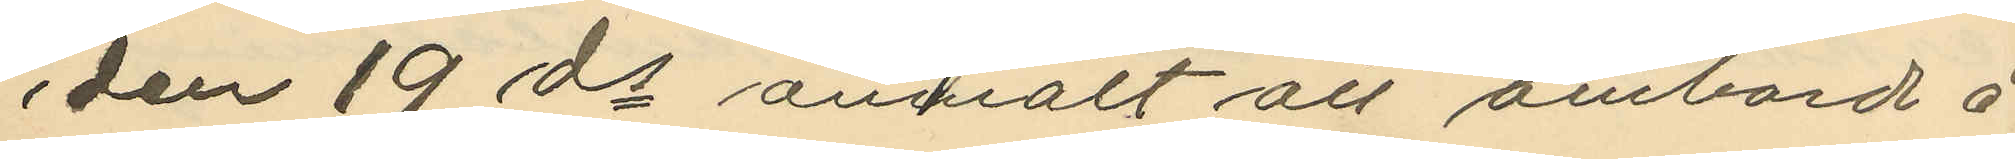den 19 ds anmält att ombord å
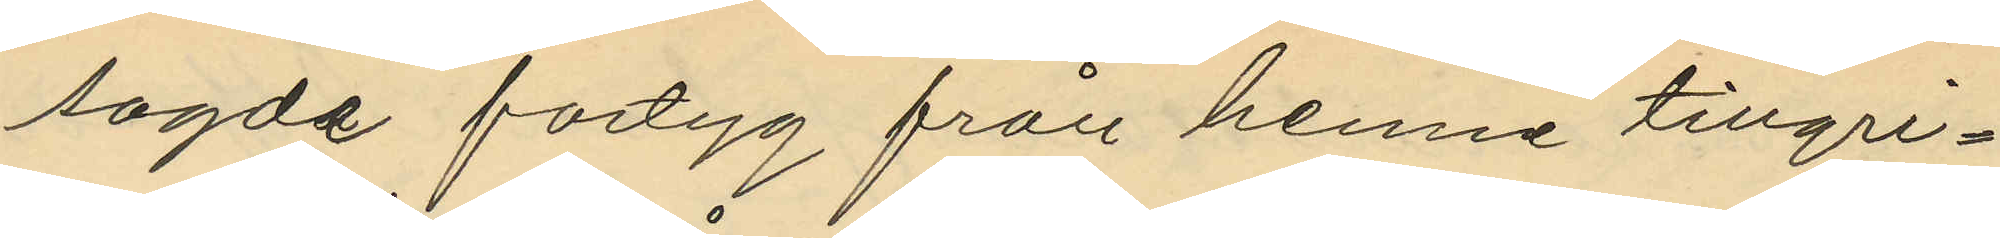sagde fartyg från henne tillgri¬
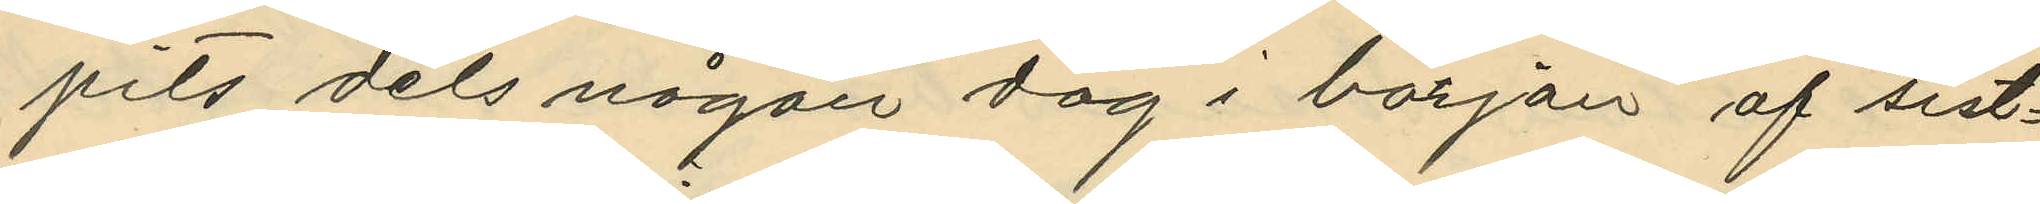pits dels någon dag i början af sist¬
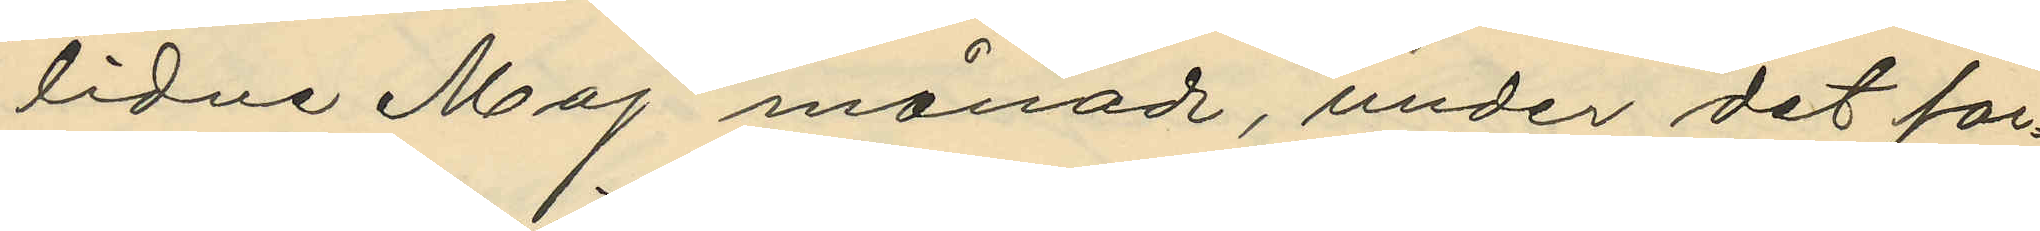lidne Maj månad, under det far¬
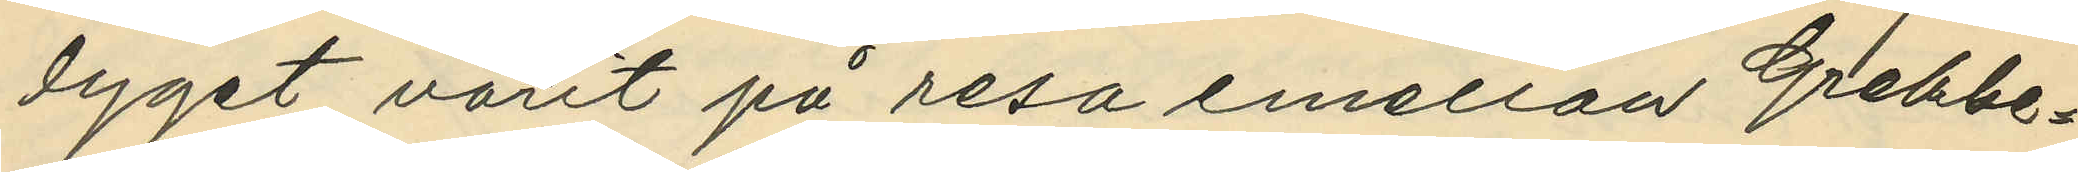tyget varit på resa emellan Grebbe¬
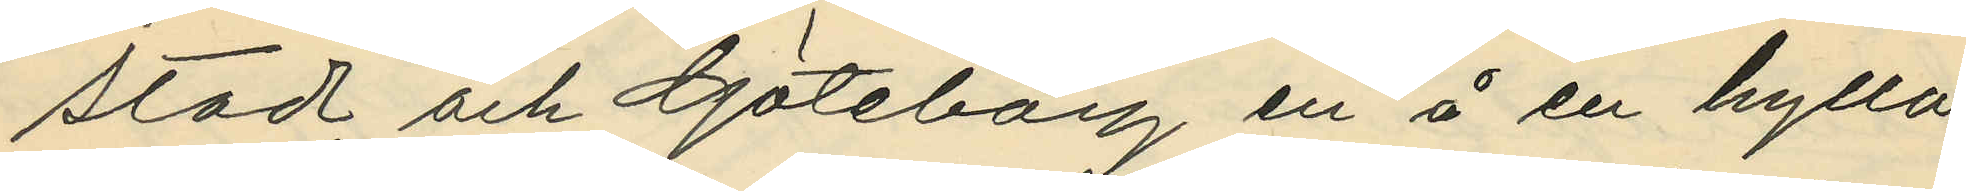stad och Göteborg en å en hylla
